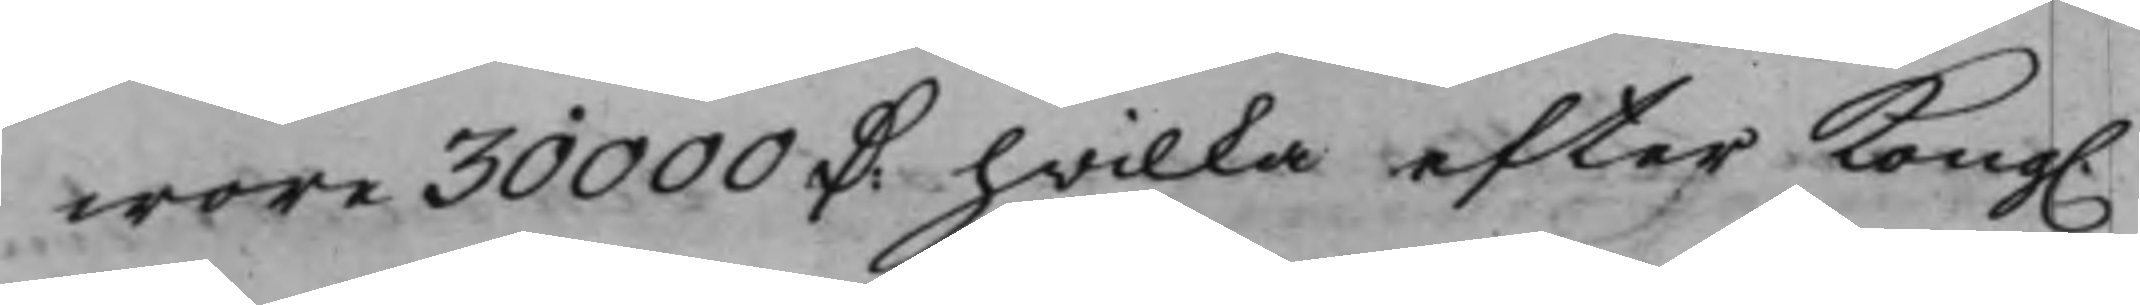wore 20000 D. hwilka efter Kong.
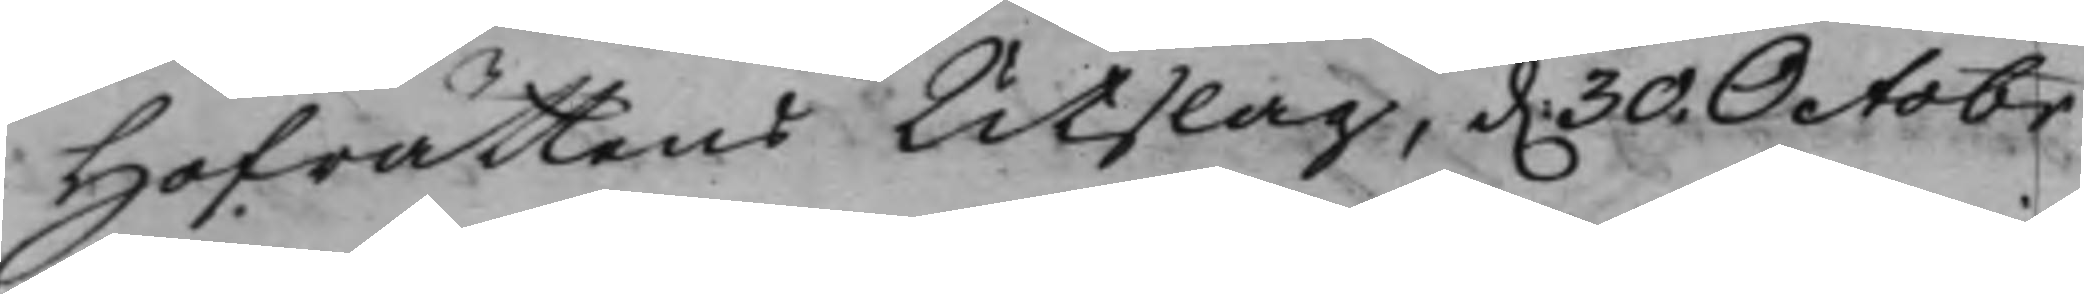Hofrättens Utslag, d. 30 Octobr
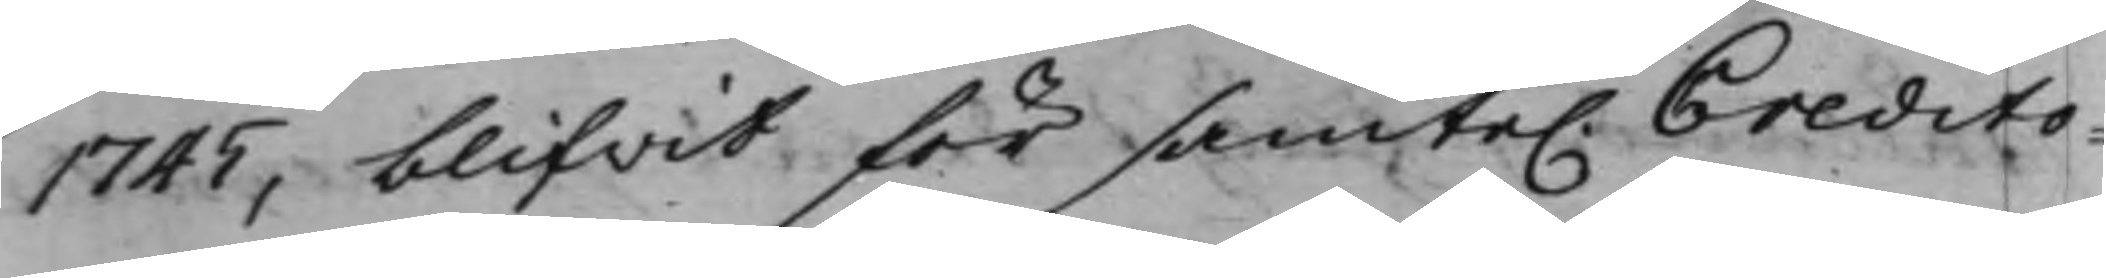1745 blifvit för samte. Credito¬
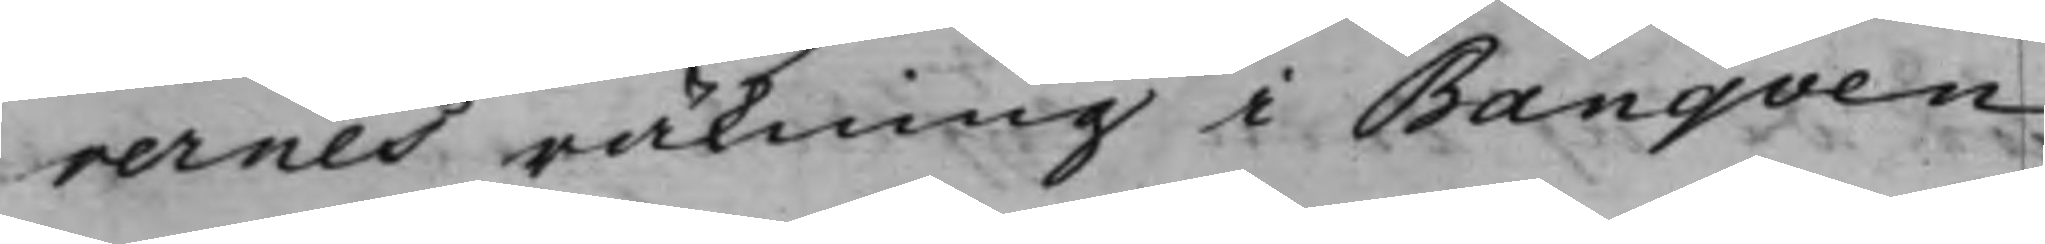rernes räkning i Banqven
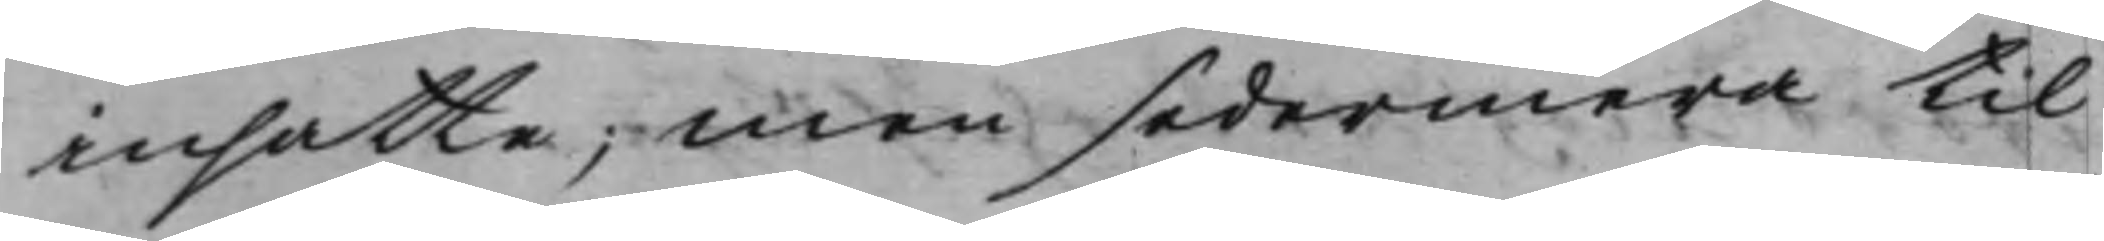insatte; Men sedermera til
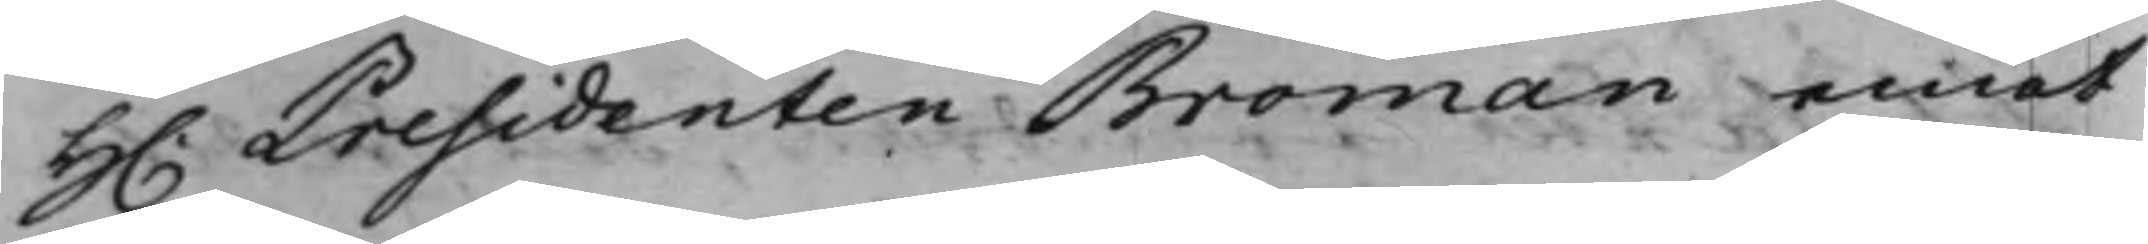H. Presidenten Broman emot
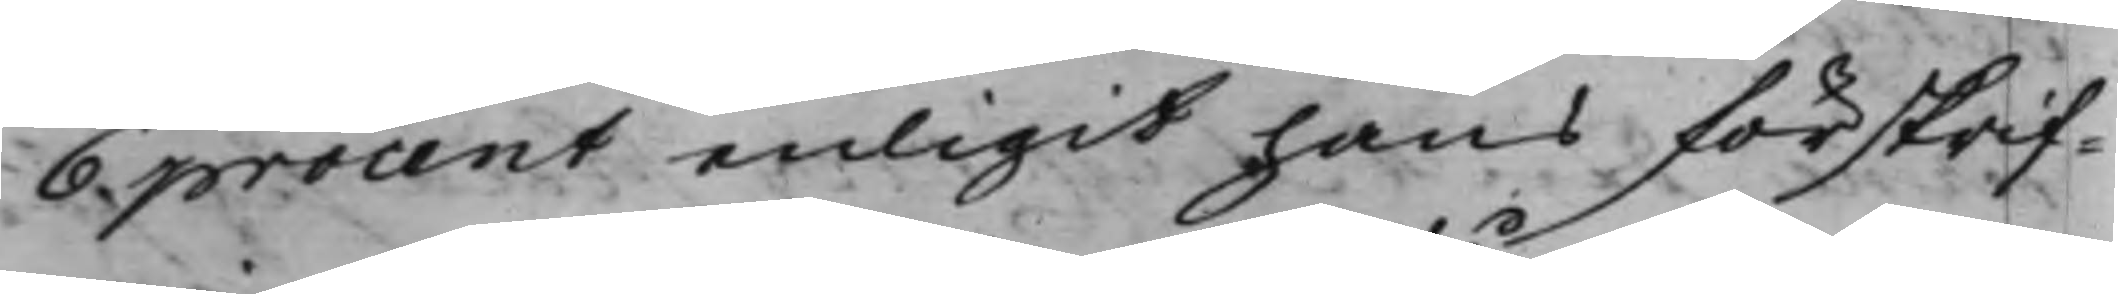6 procent enligit hans förskrif¬
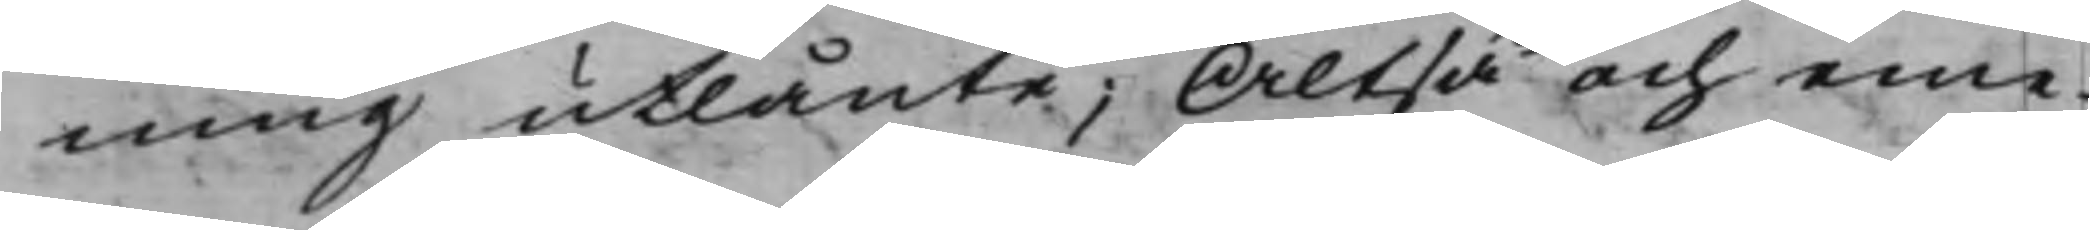ning utlånte; Altså och eme¬
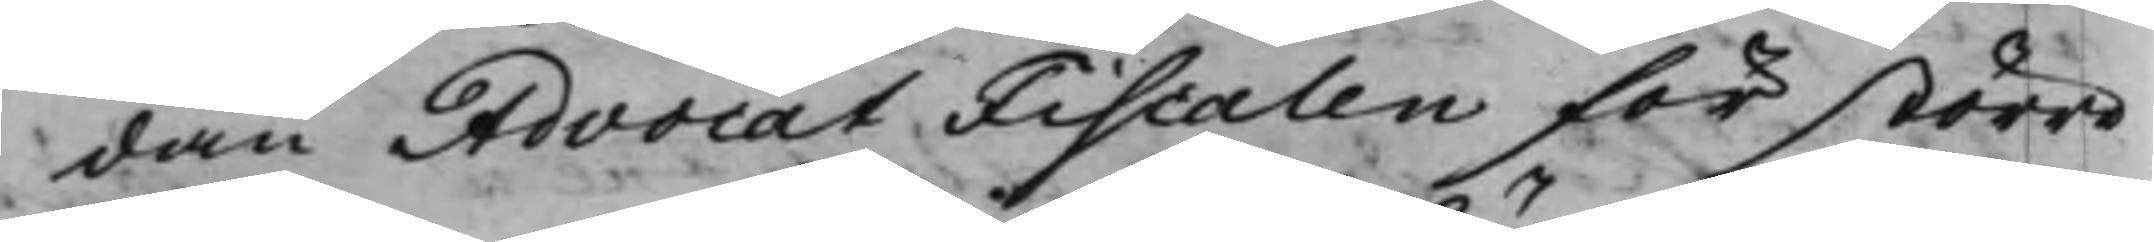dan AdvocatFiscalen för större
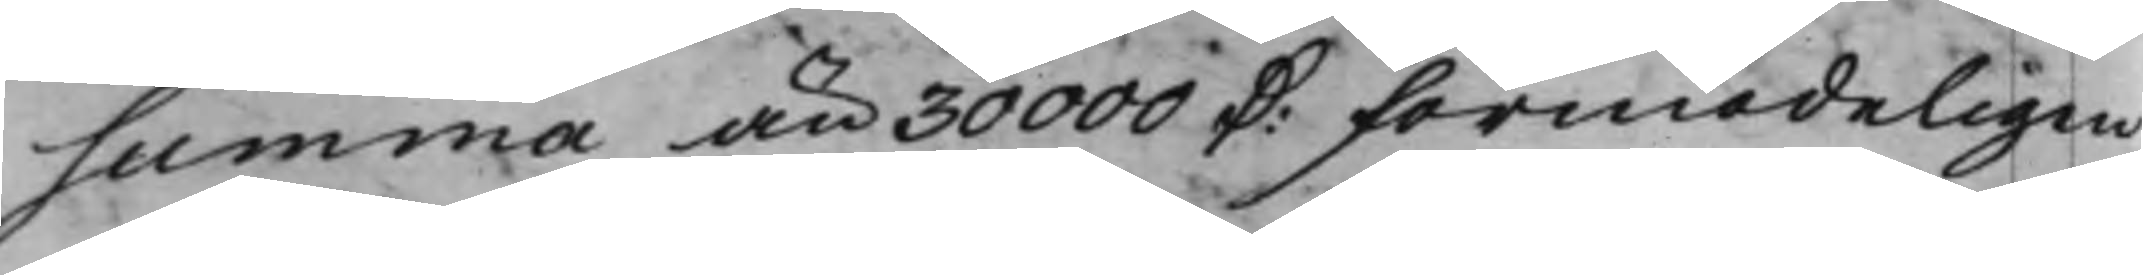summa än 30000 D: förmodeligen
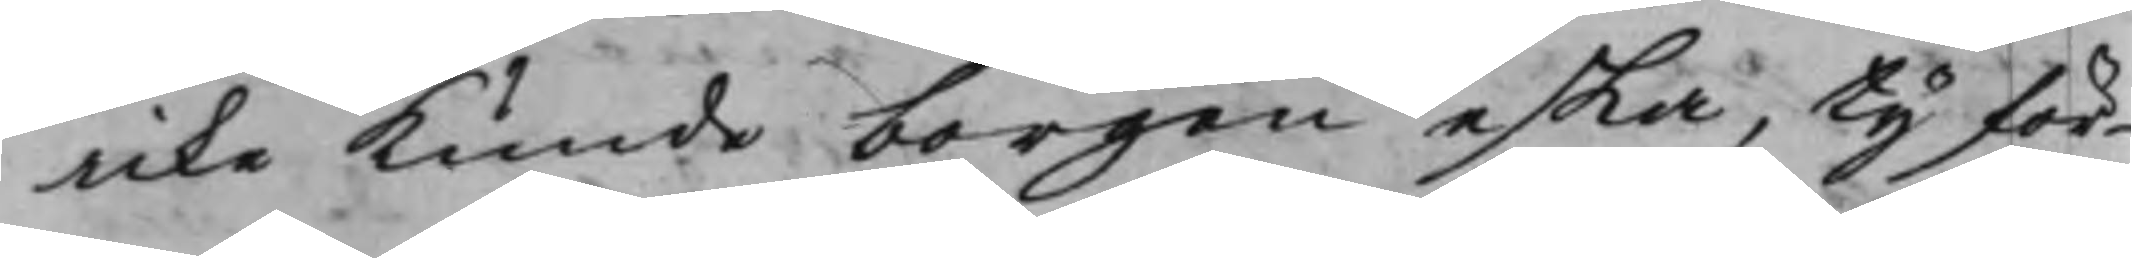icke kunde borgen eska, ty för¬
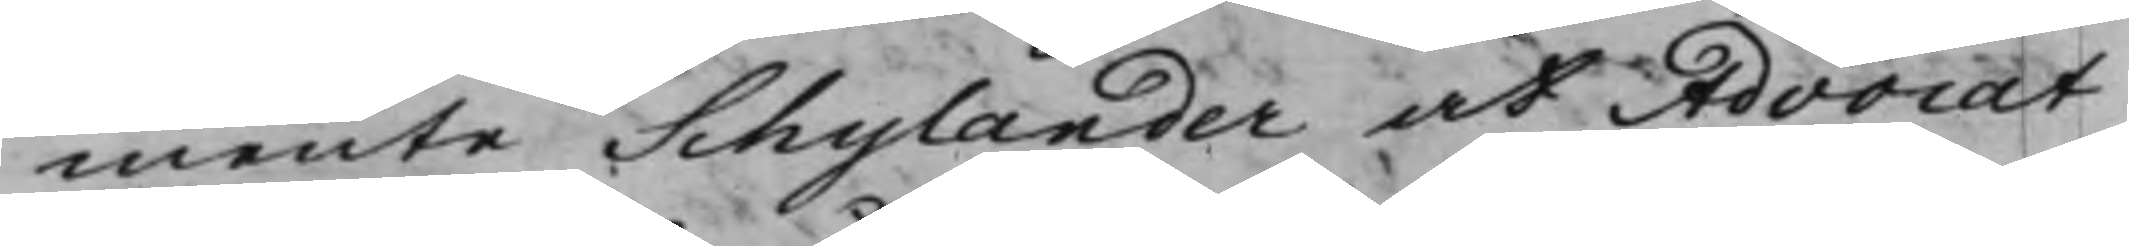mente Schylander at Advocat¬
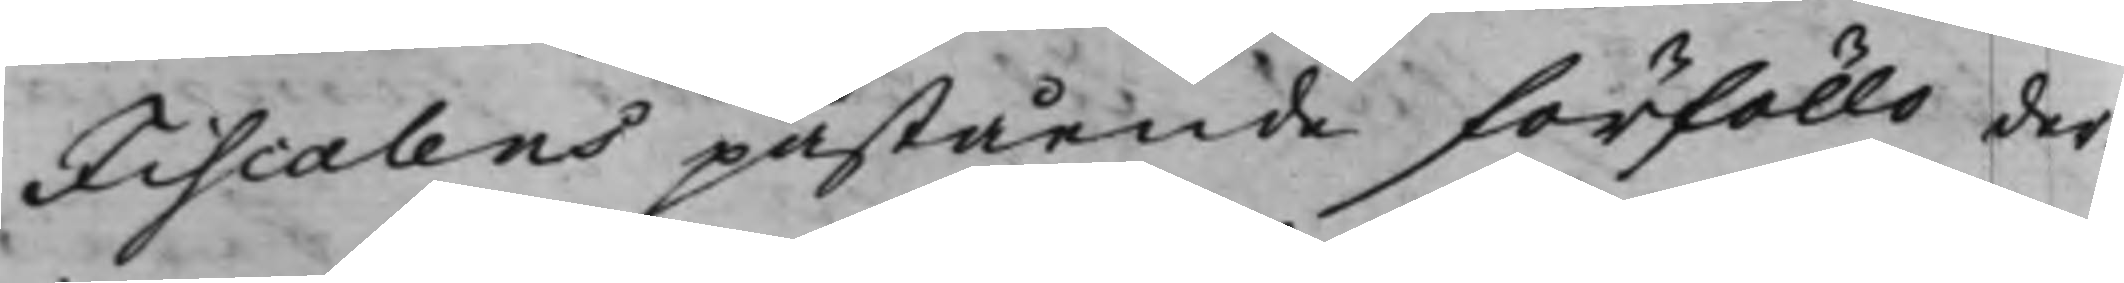Fiscalens påstående förföllo der¬
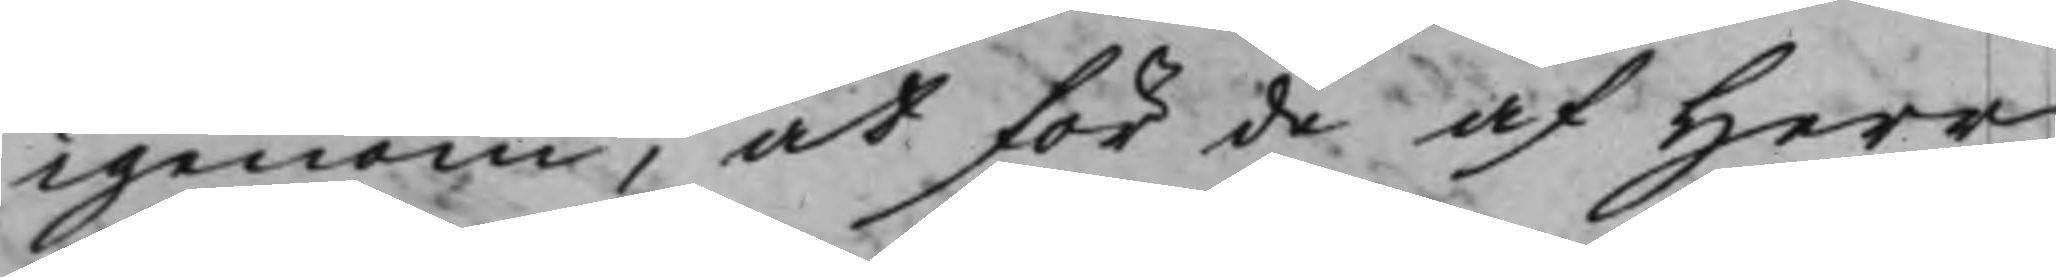igenom, at för de af Herr
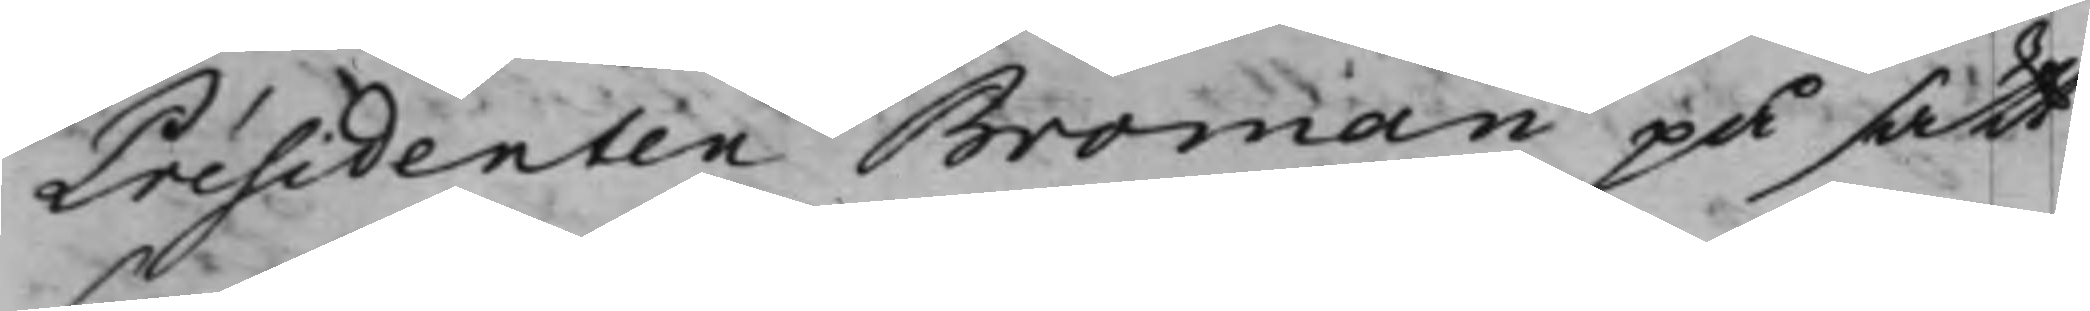Présidenten Broman på sätt
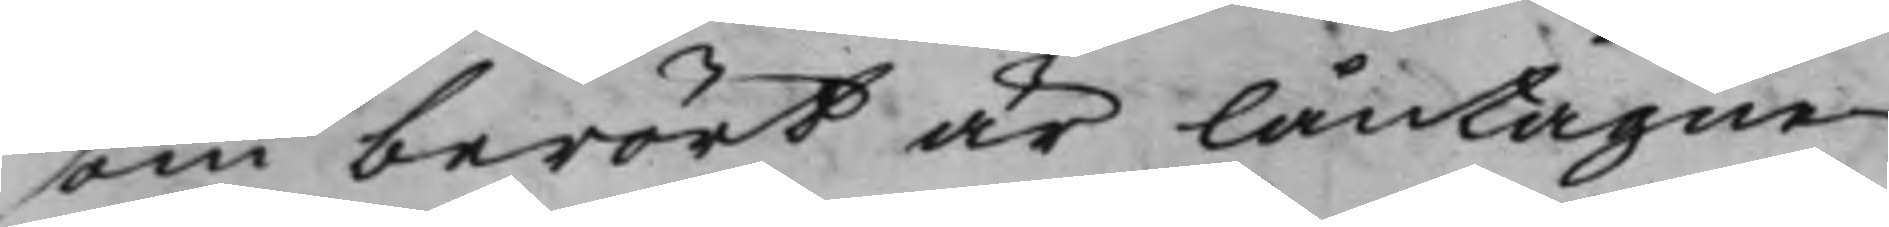som berört är låntagne
